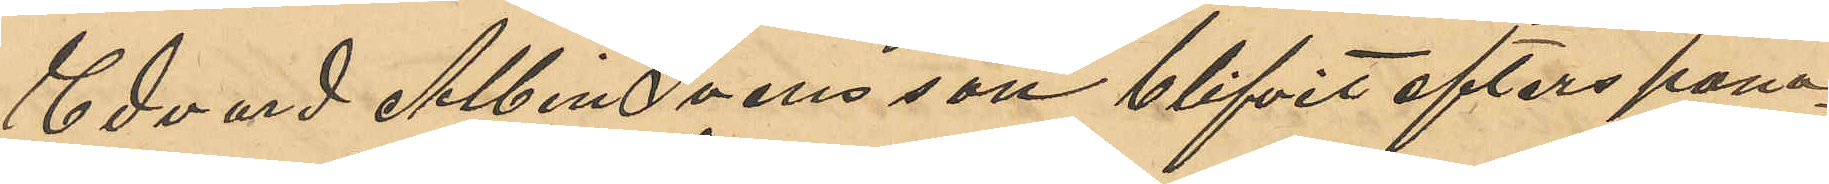Edvard Albin Svensson blifvit efterspana¬
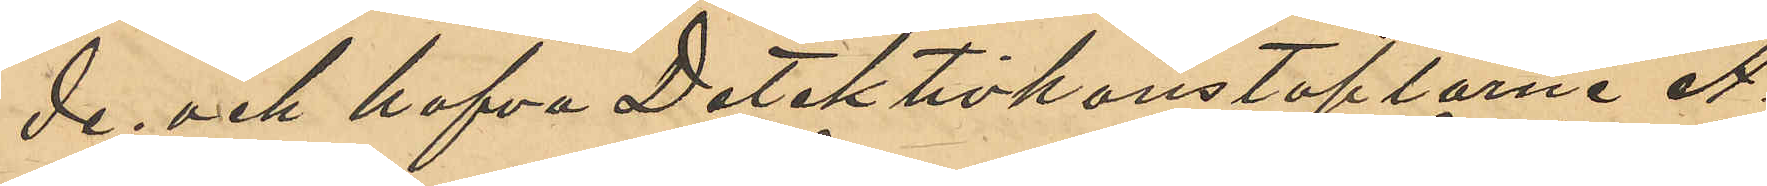de; och hafva Detektivkonstaplarne A.
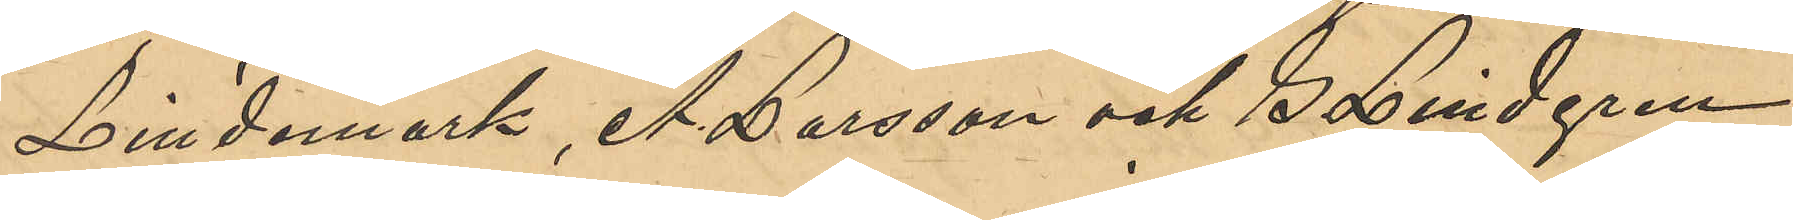Lindmark, A. Larsson och S. Lindgren
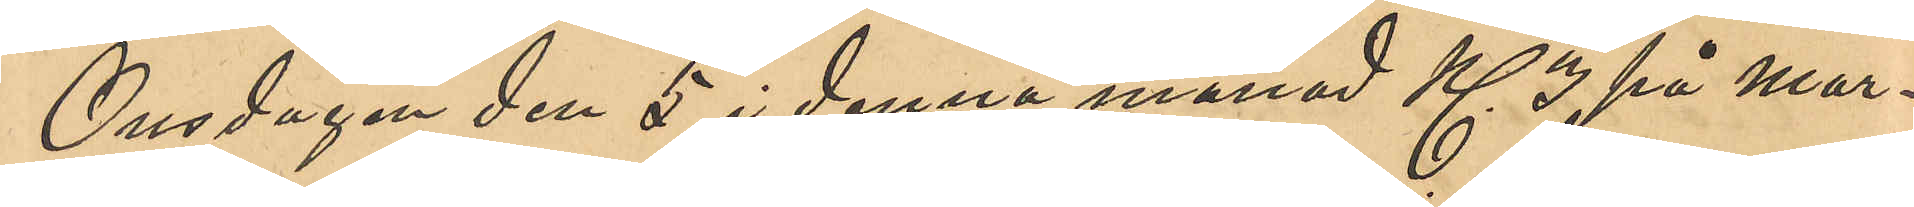Onsdagen den 5 i denna månad Kl 3 på mor¬
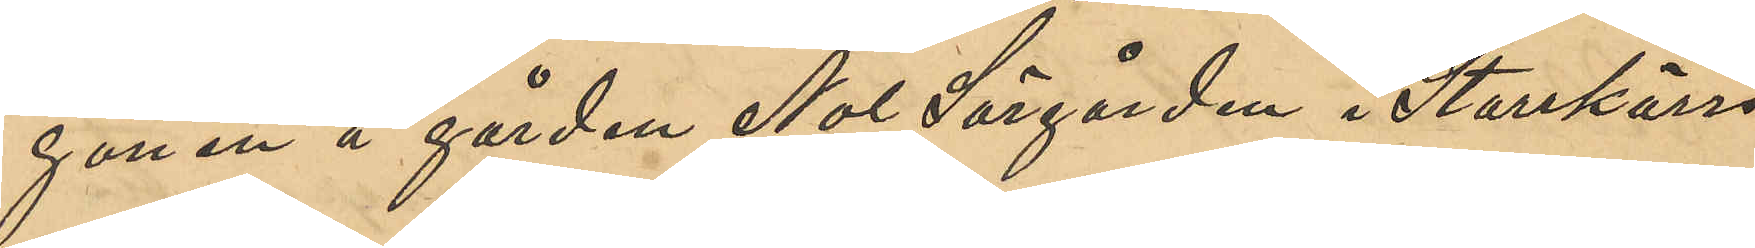gonen å gården Nol Sörgården i Starrkärrs
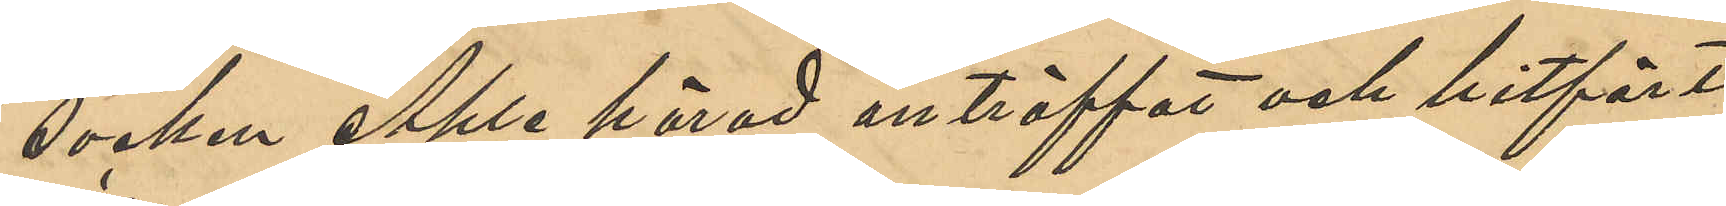socken Ahle härad anträffat och hitfört
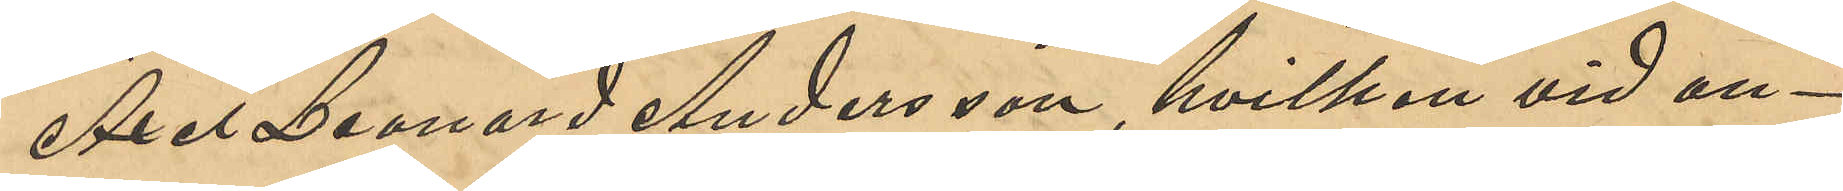Axel Leonard Svensson, hvilken vid an¬
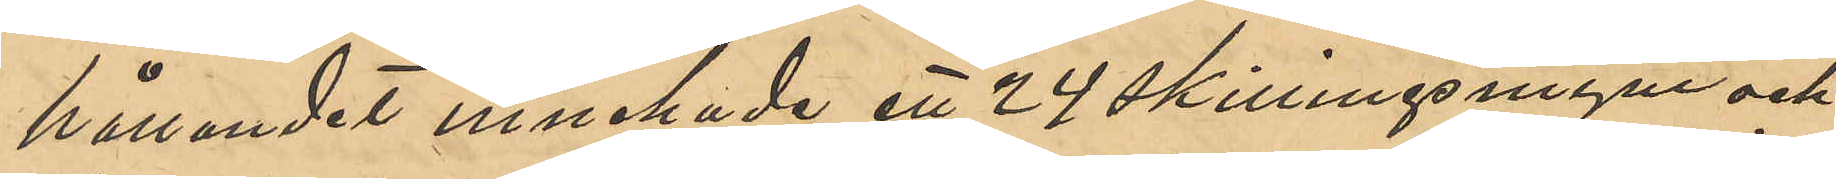hållandet innehade ett 24 skillingsmynt och
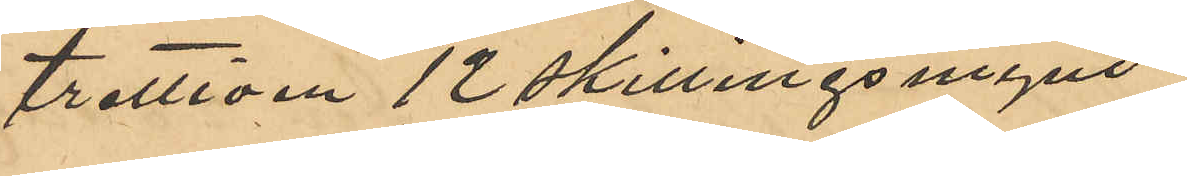trettioen 12 skillingsmynt.
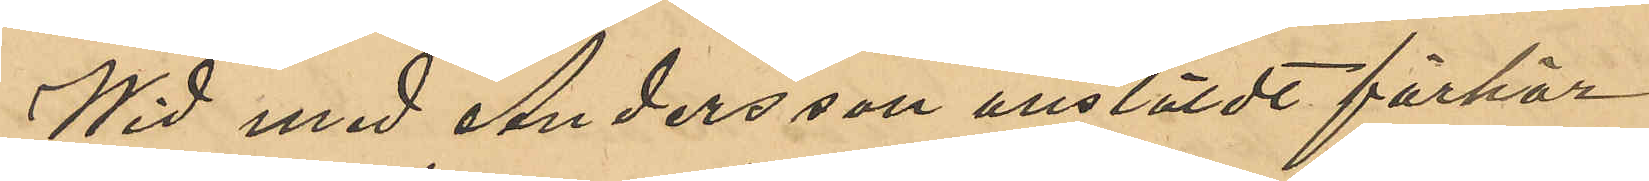Wid med Andersson anstäldt förhör
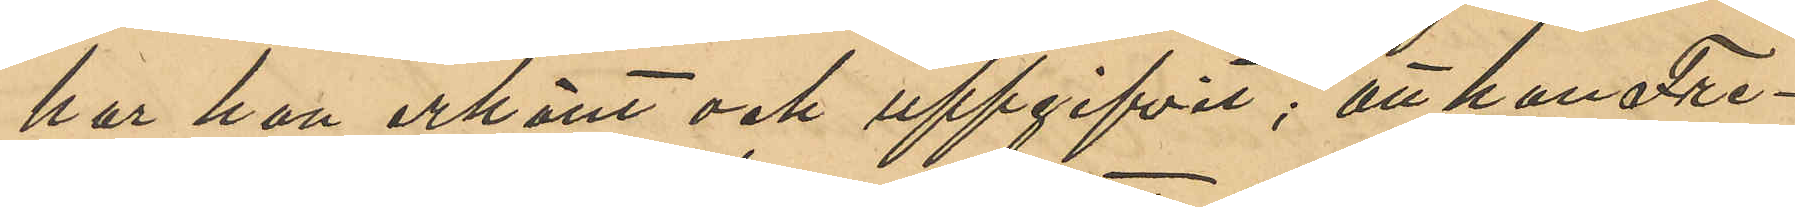har han erkänt och uppgifvit; att han Fre¬
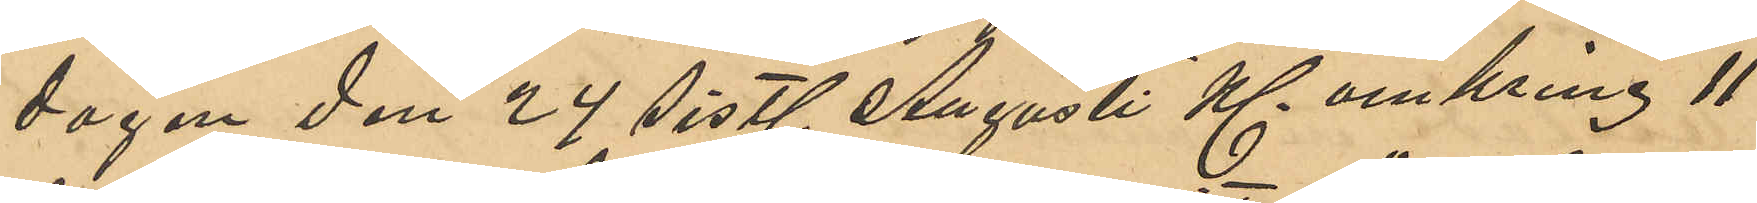dagen den 24 sistl. Augusti Kl. omkring 11
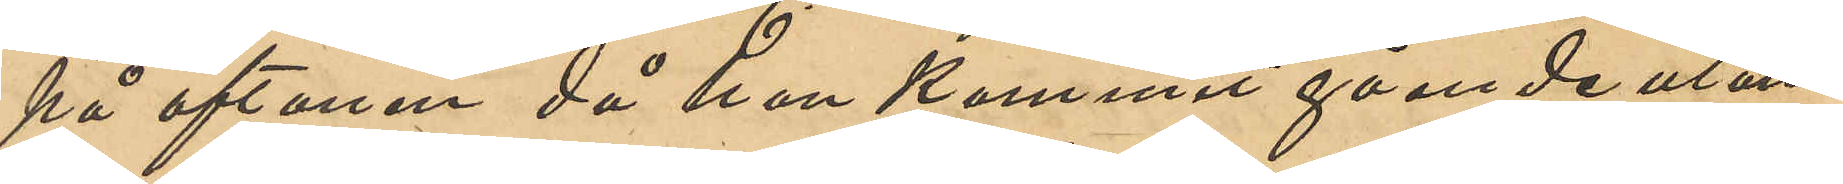på aftonen då han kommit gående utan¬
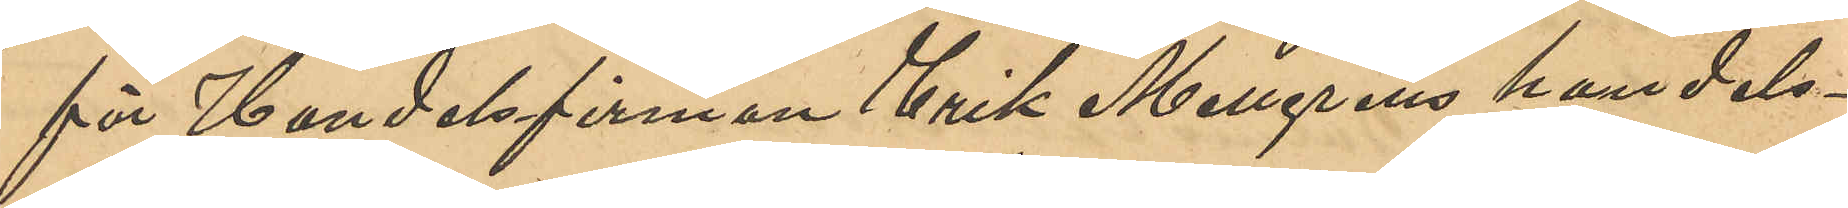för Handelsfirman Erik Mellgrens handels¬
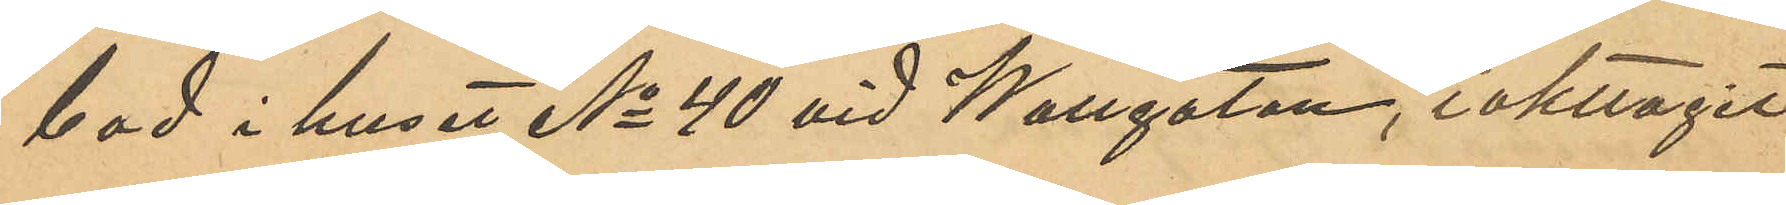bod i huset No 40 vid Wallgatan, iakttagit
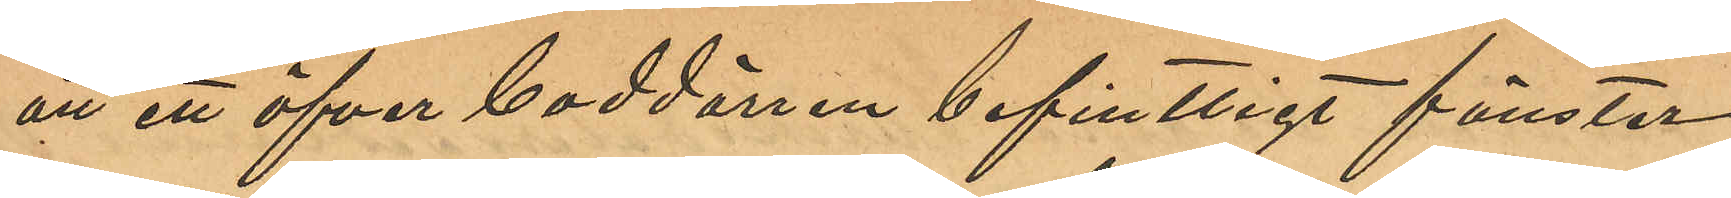att ett öfver boddörren befintligt fönster
